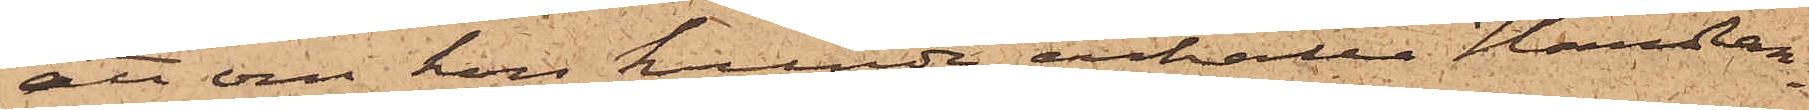att om hon kunde erhålla Handlan¬
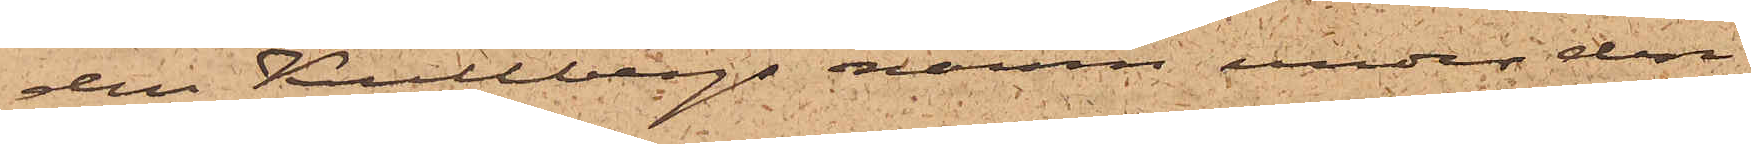den Kullbergs namn under den
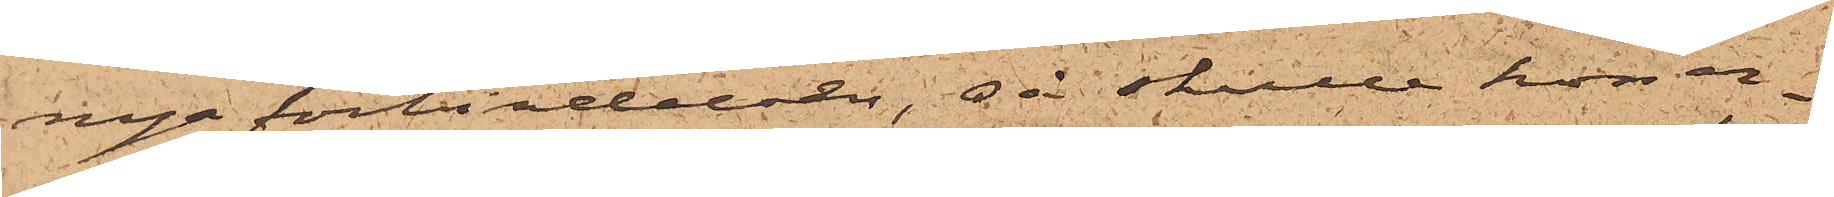nya förbindelsen, så skulle hon er¬
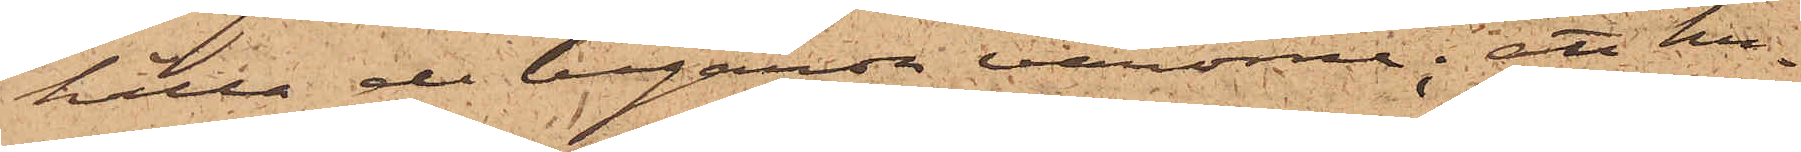hålla de begärda varorne; att hu¬
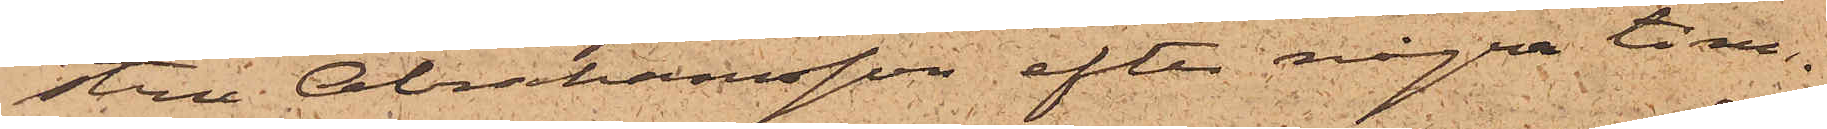stru Abrahamsson efter några tim¬
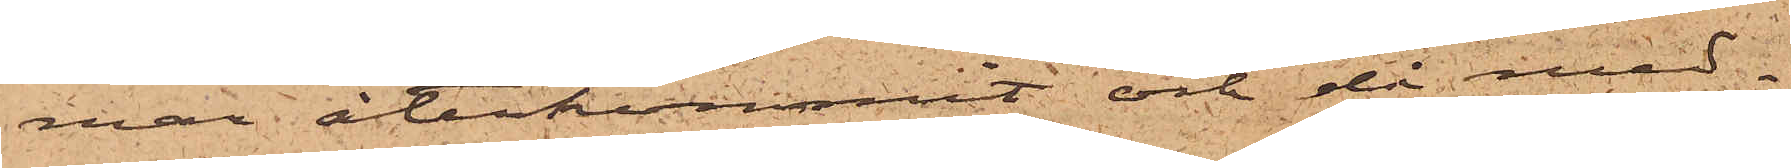mar återkommit och då med¬
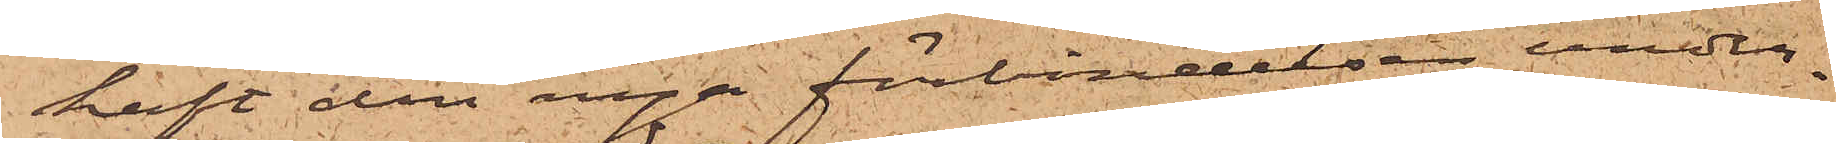haft den nya förbindelsen under¬
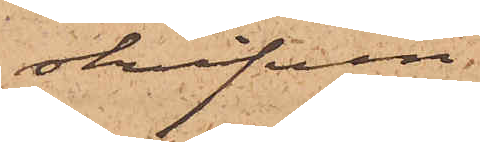skrifven
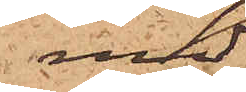med
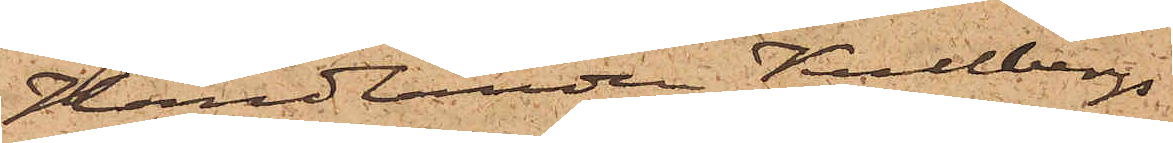Handlanden Kullbergs
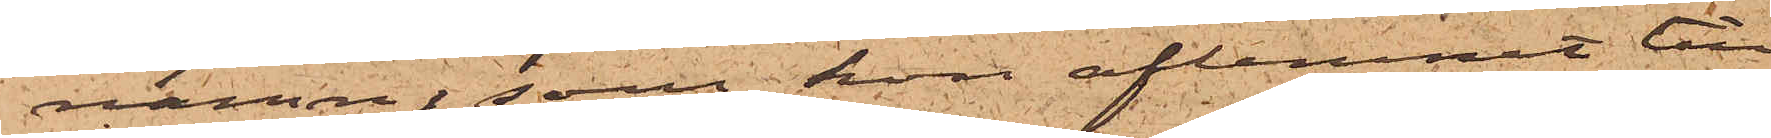namn, som hon aflemnat till
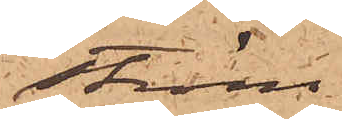Ström
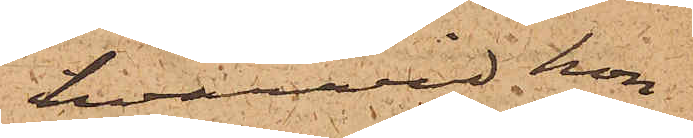hvarvid hon
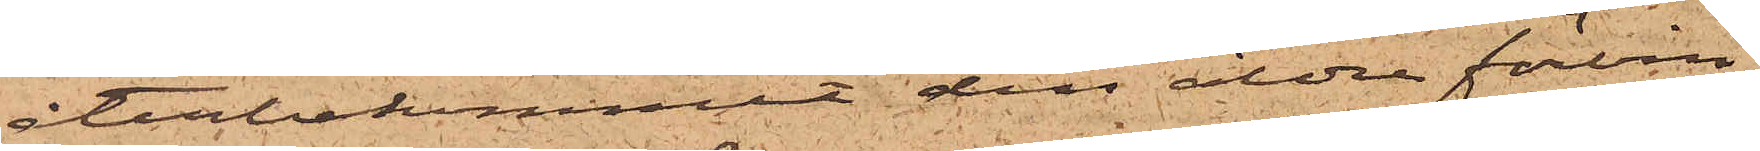återbekommit den äldre förbin¬
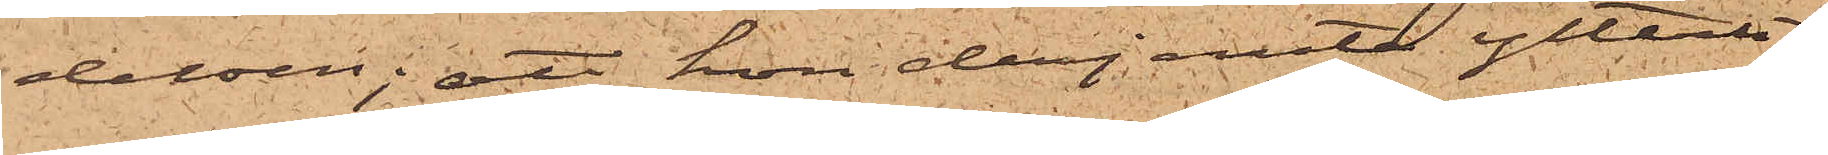delsen; att hon derjemte ytterli¬
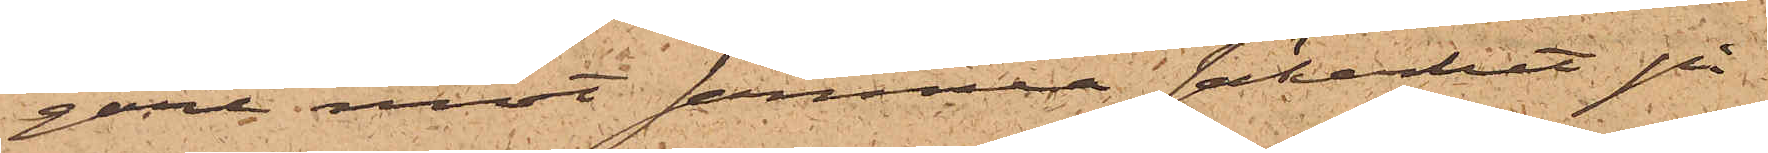gare mot samma säkerhet på
